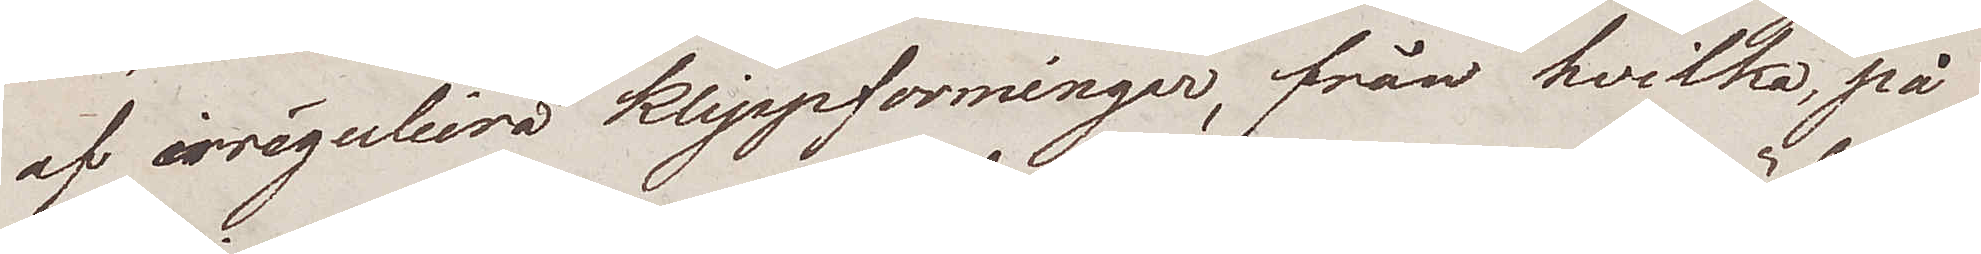af irréguliera klippformingar, från hvilka, på
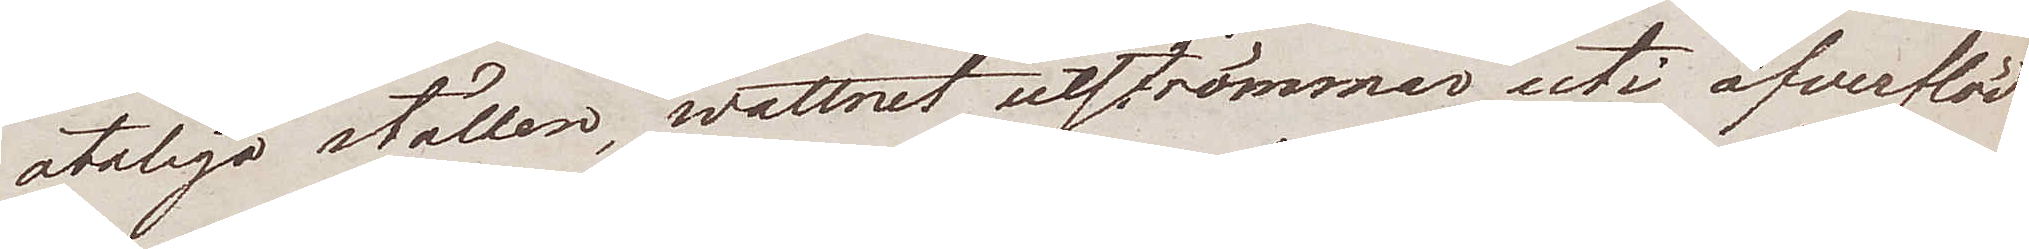otaliga ställen, wattnet utströmmar uti öfverflöd.
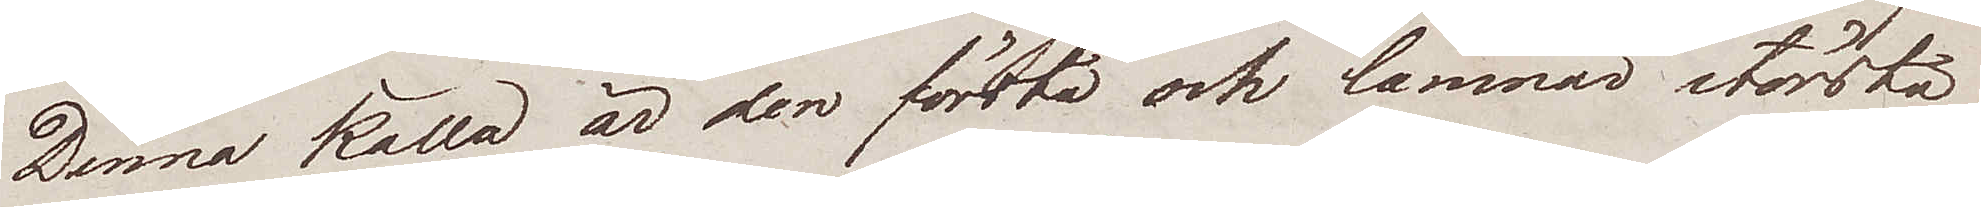Denna källa är den första och lämnar största
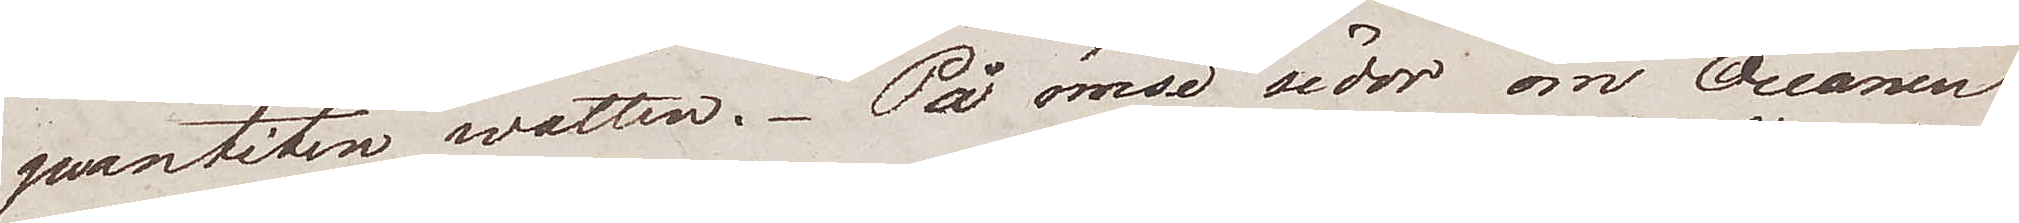quantiten watten. På ömse sidor om Oceanen
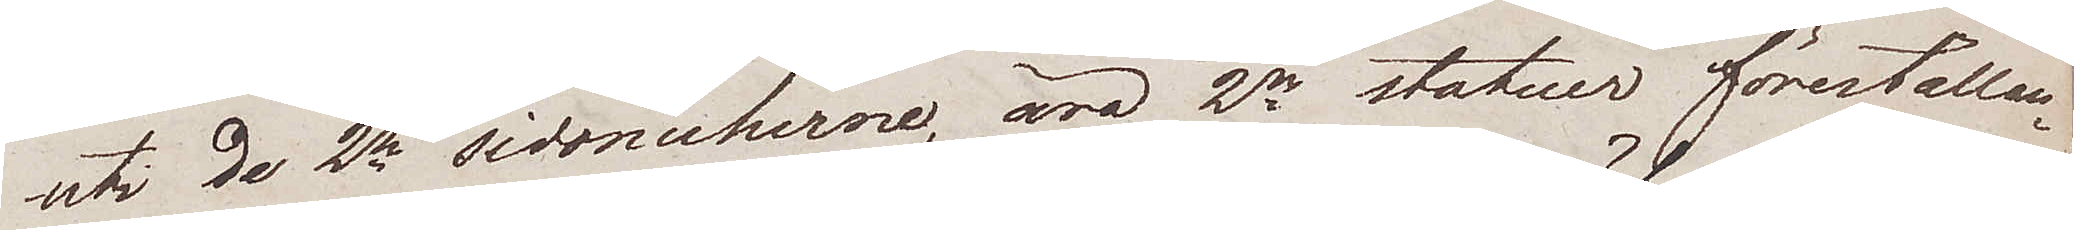uti de 2ne sidonicherne, äro 2ne statuer föreställan¬
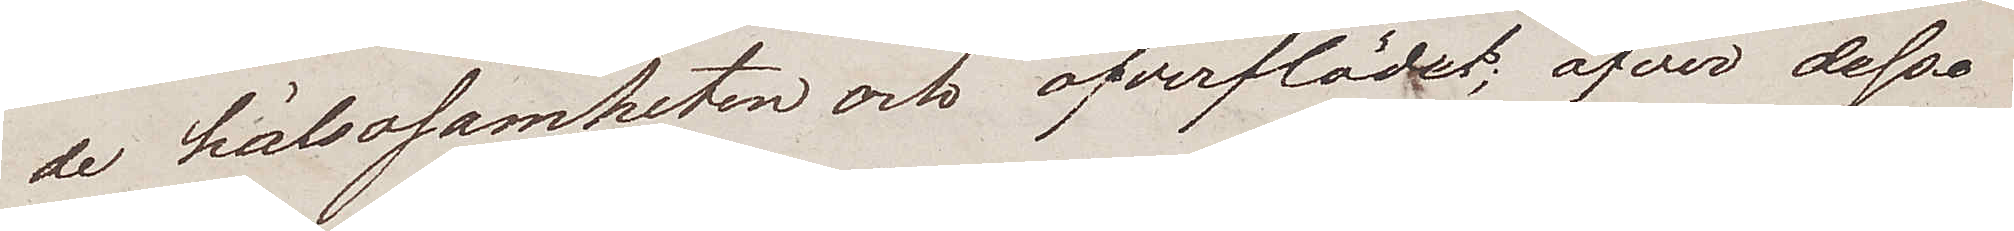de hälsosamheten och öfverflödet; öfver dessa
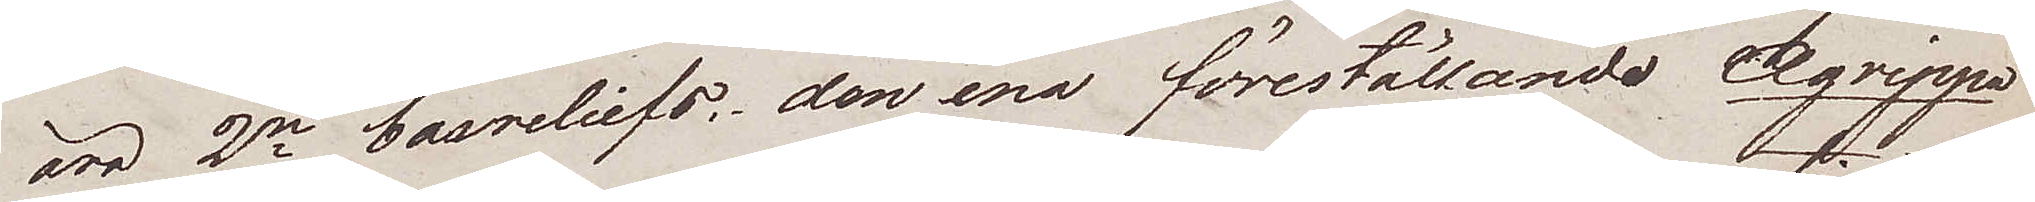2ne basreliefs; den ena föreställande Agrippa
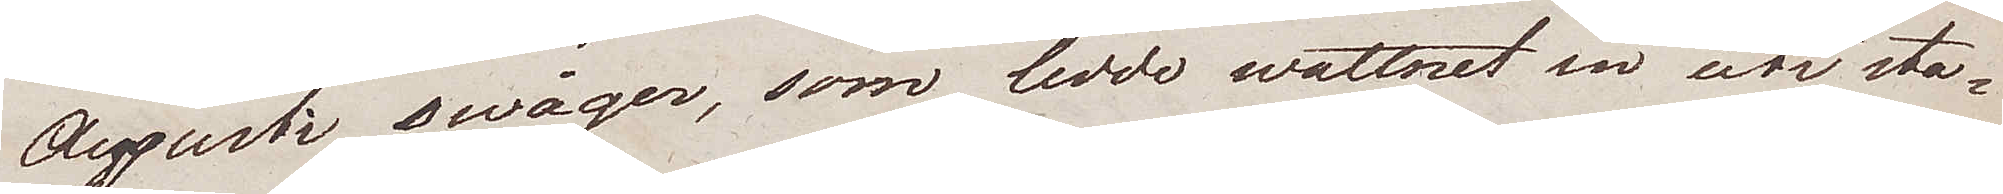Augusti swåger, som ledde wattnet in uti sta¬
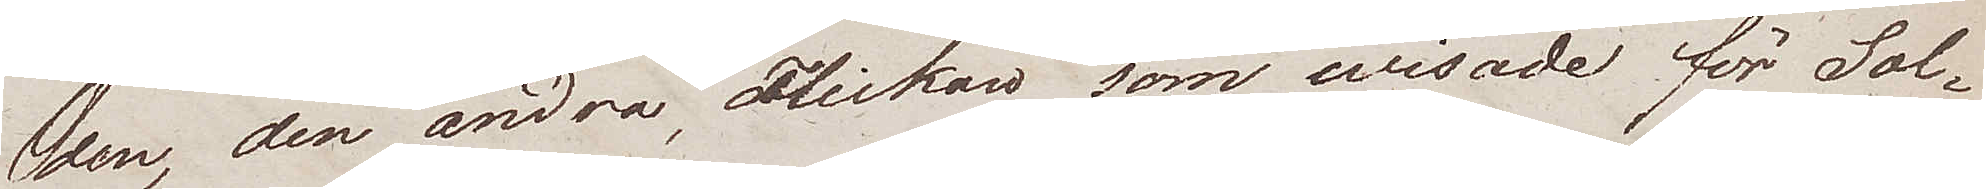den, den andra, Flickan som visade för Sol¬
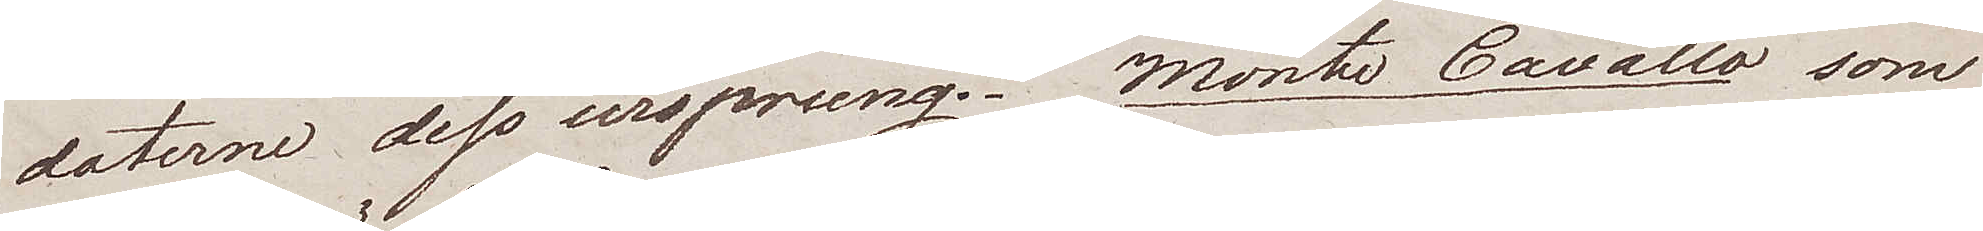daterne dess ursprung. Monti Cavallo som
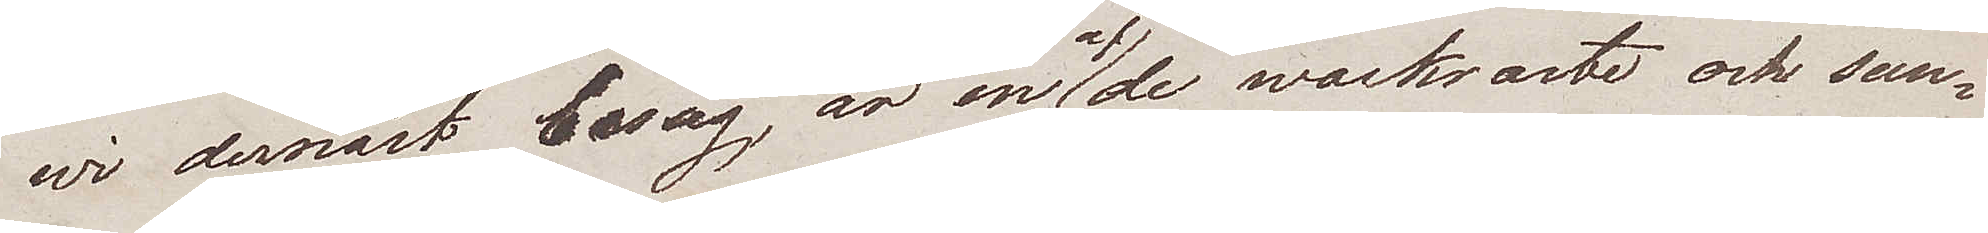wi dernäst besåg är en af de wackraste och sun¬
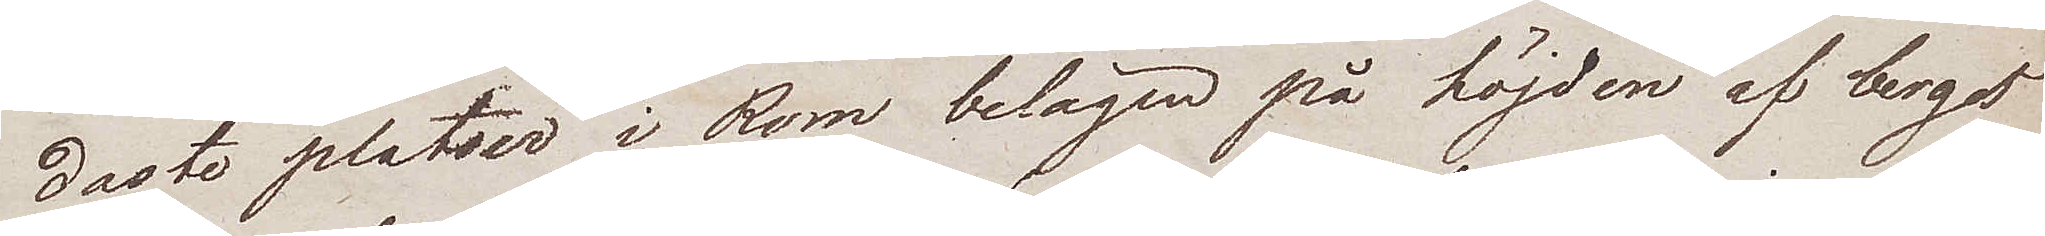daste platser i Rom belägen på höjden af berget
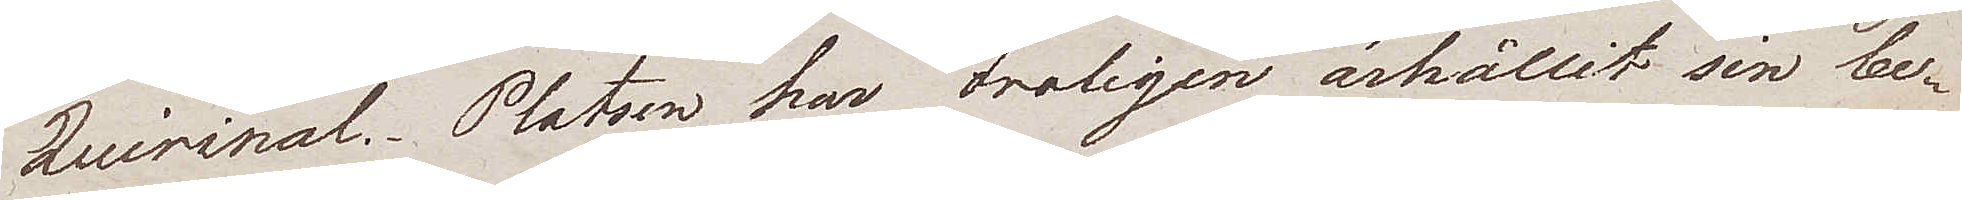Quirinal. Platsen har troligen ärhållit sin be¬
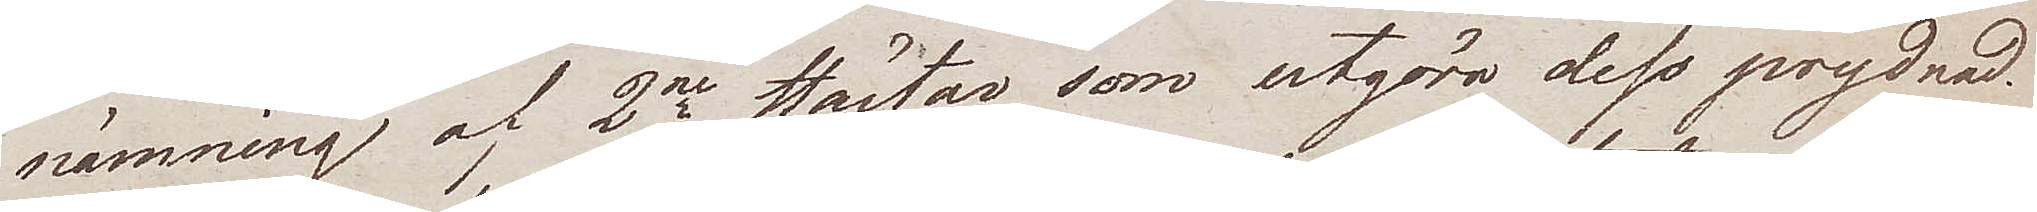nämning af 2ne Hästar som utgöra dess prydnad.
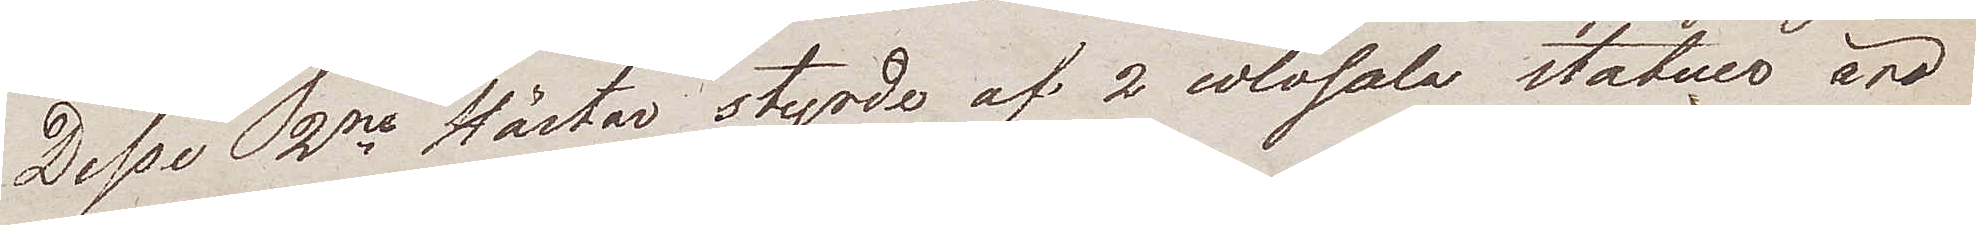Desse 2ne Hästar, styrde af 2 colosala statuer äro
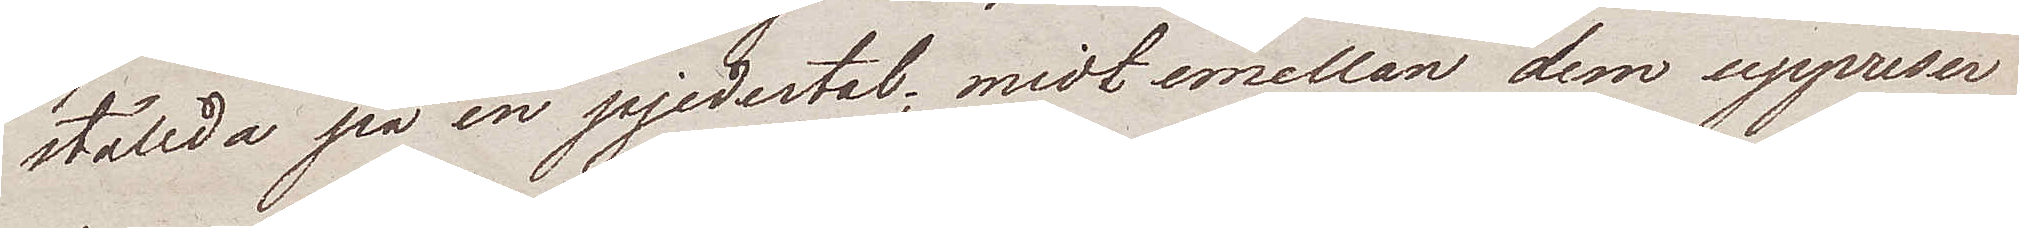ställda på en pjedestal; midt emellan dem uppreser
